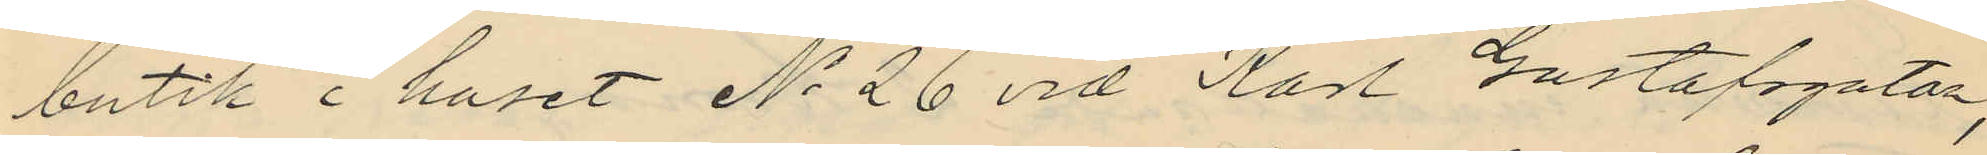butik i huset No 26 vid Karl Gustafsgatan,
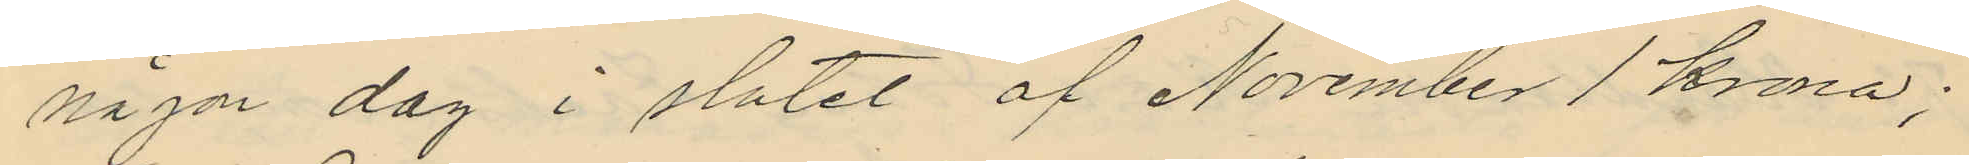någon dag i slutet af November 1 krona;
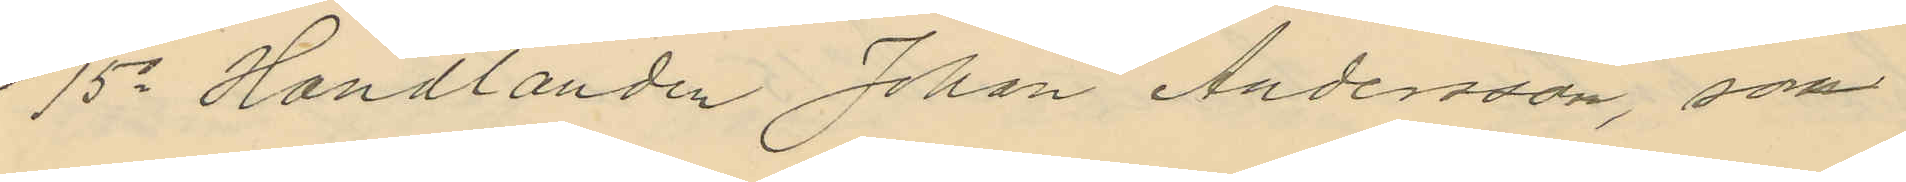15o Handlanden Johan Andersson, som
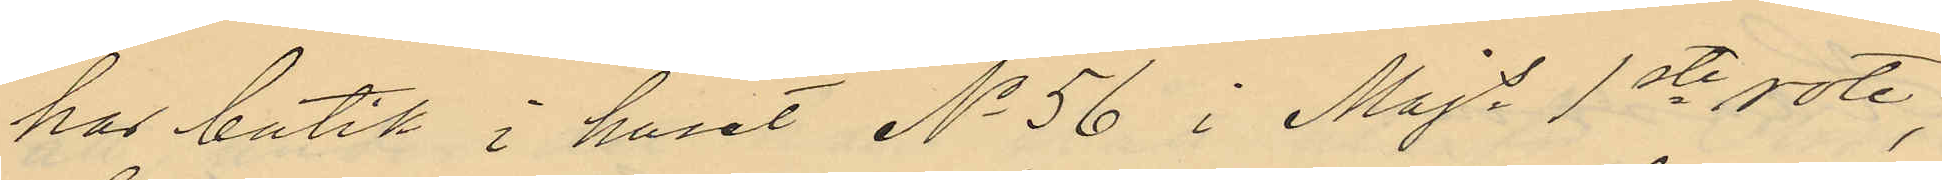har butik i huset No 56 i Majs 1ste rote,
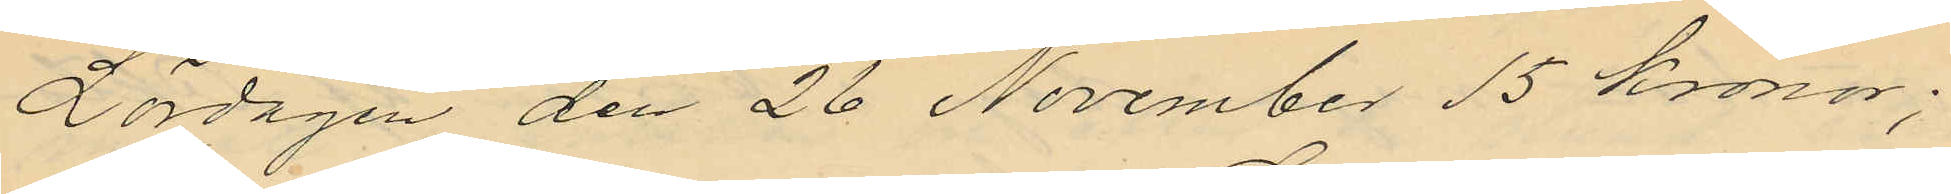Lördagen den 26 November 15 kronor;
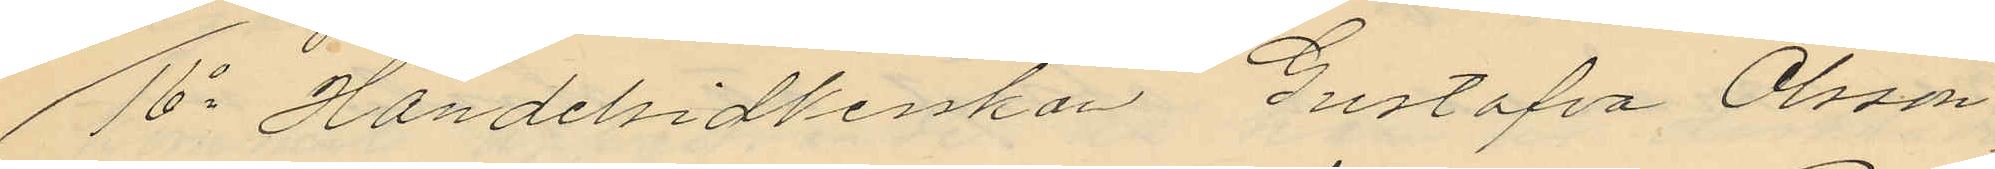16o Handelsidkerskan Gustafva Olsson
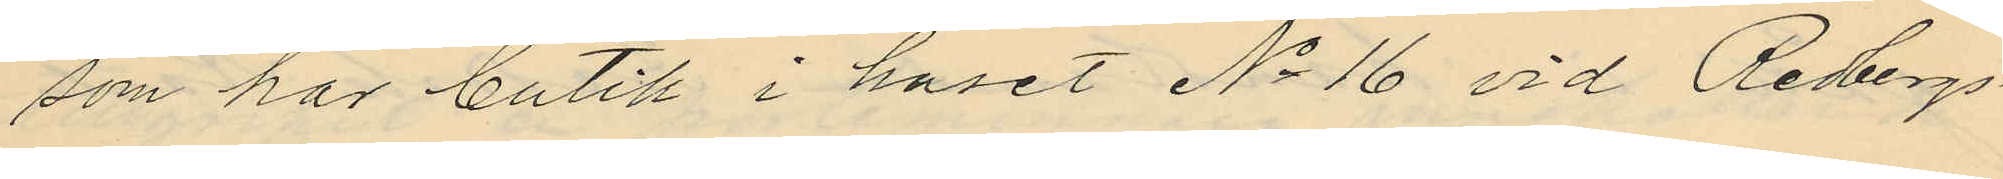som har butik i huset No 16 vid Redbergs¬
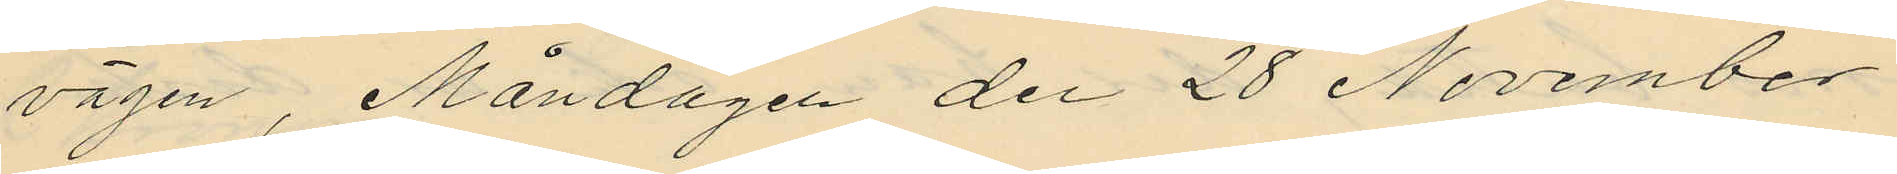vägen, Måndagen den 28 November
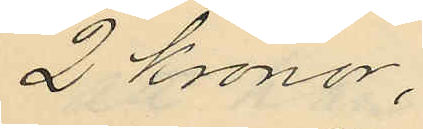2 kronor;
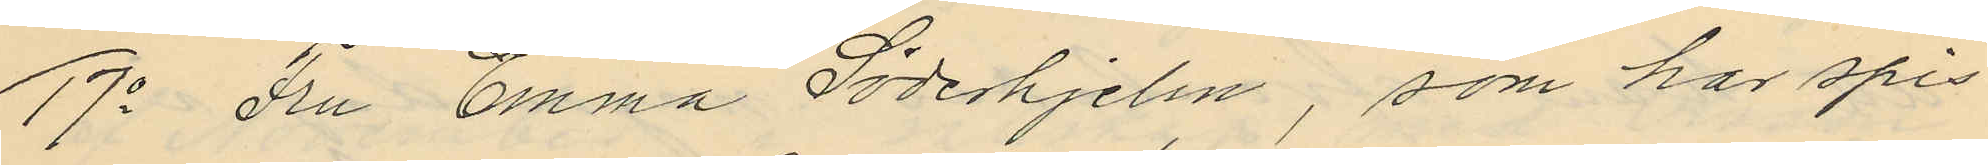17o Fru Emma Söderhjelm, som har spis¬
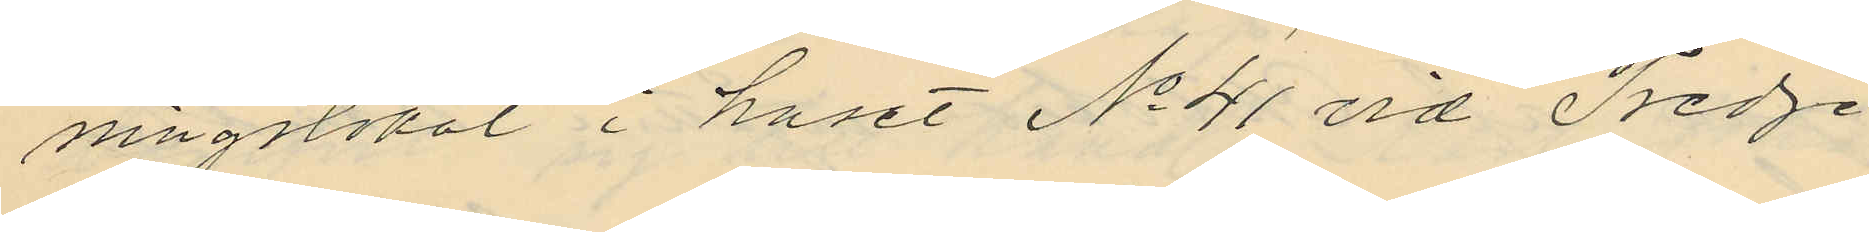ningslokal i huset No 41 vid Tredje
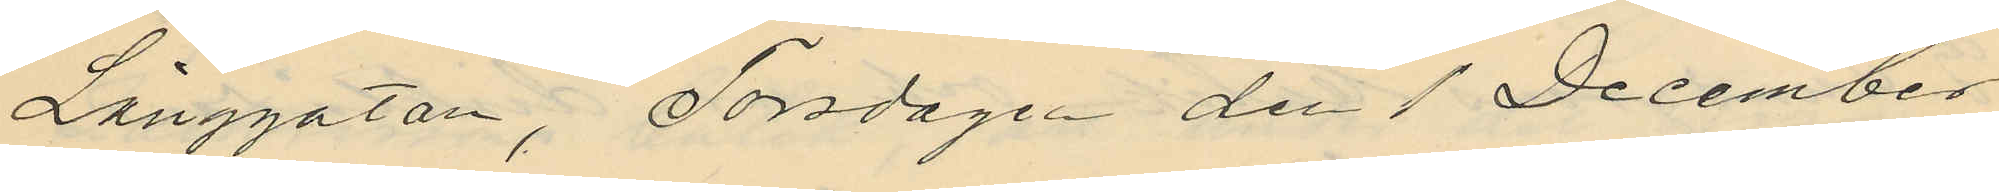Långgatan, Torsdagen den 1 December
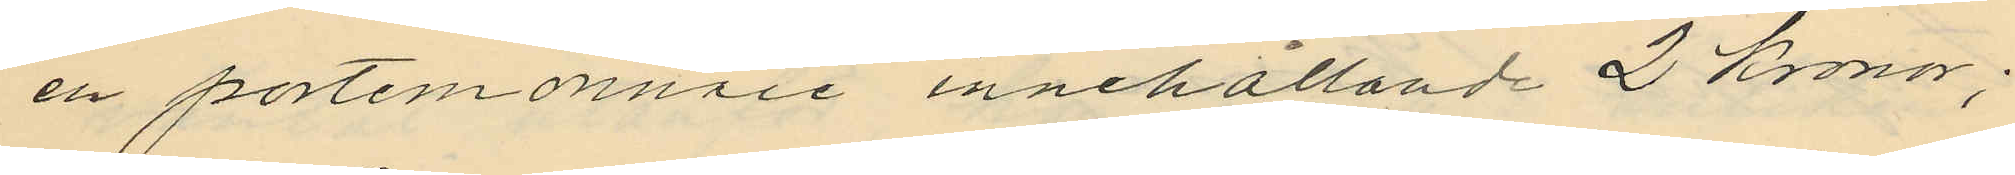en portemonnaie innehållande 2 Kronor;
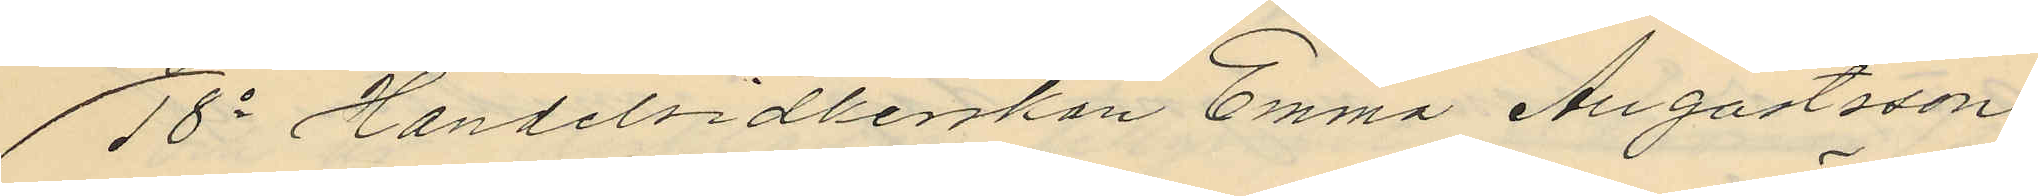18o Handelsidkerskan Emma Augustsson,
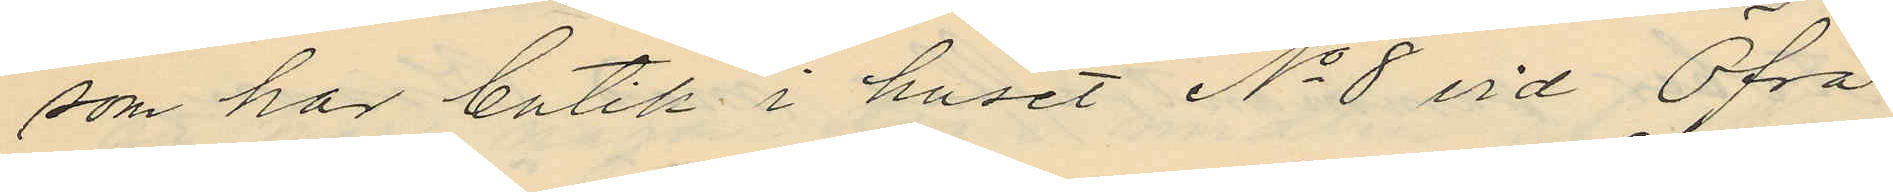som har butik i huset No 8 vid Öfra
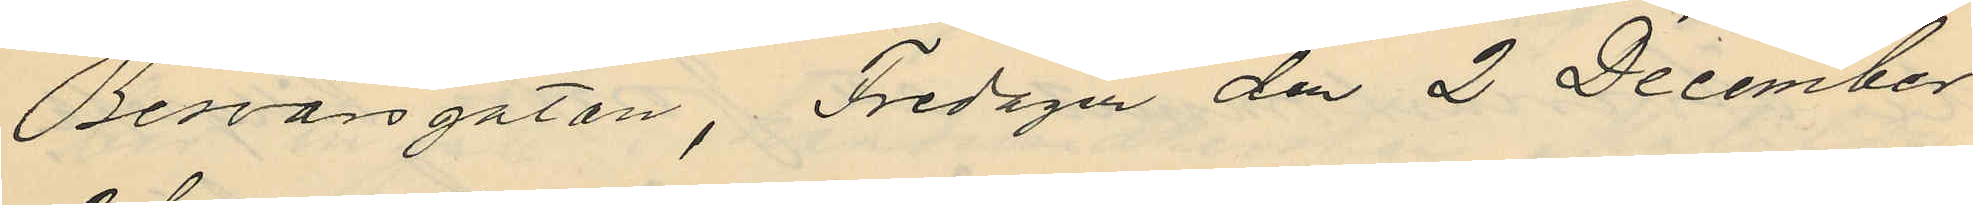Besvärsgatan, Fredagen den 2 December
